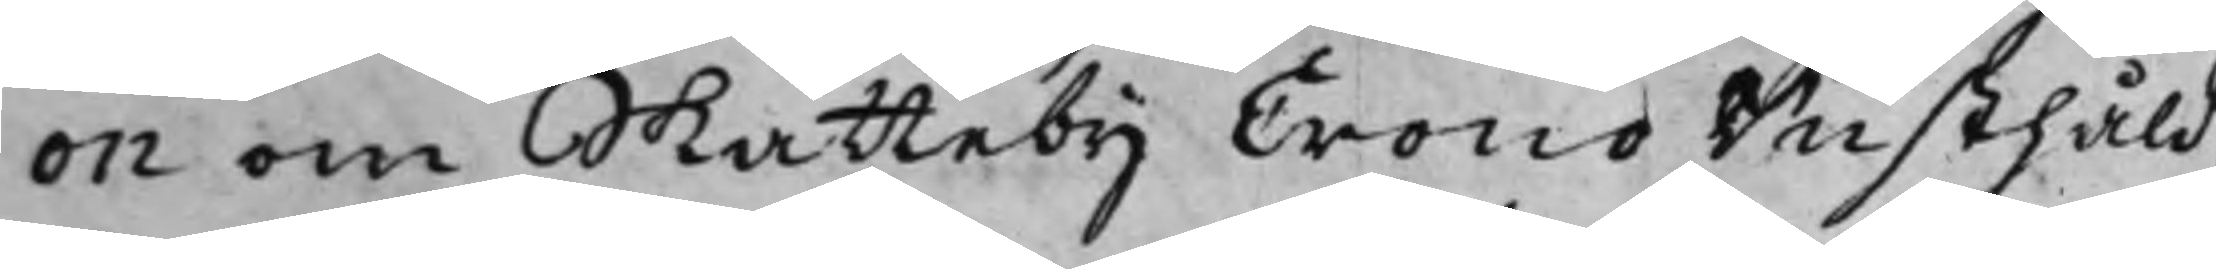on om Skatteby Crono Rusthåld,
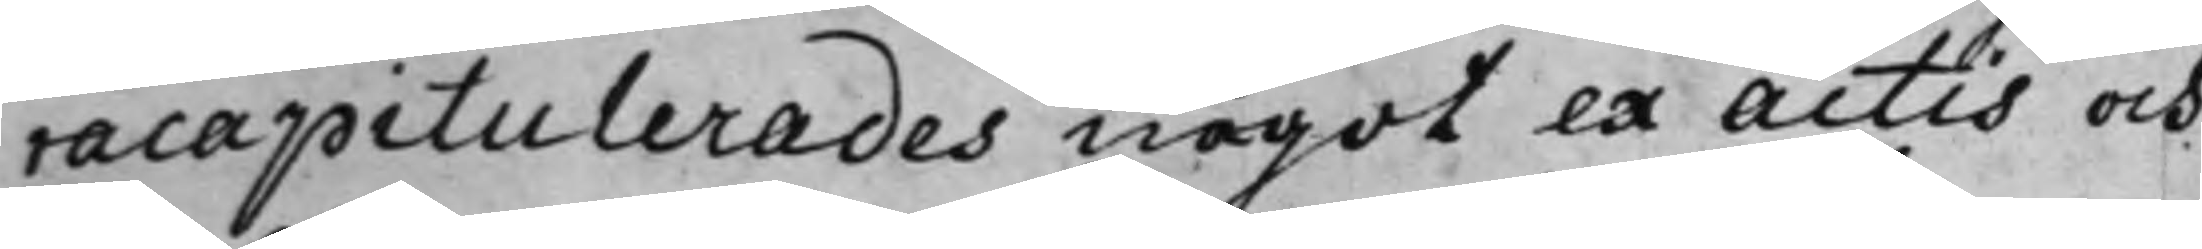racapitulerades något ex actis och
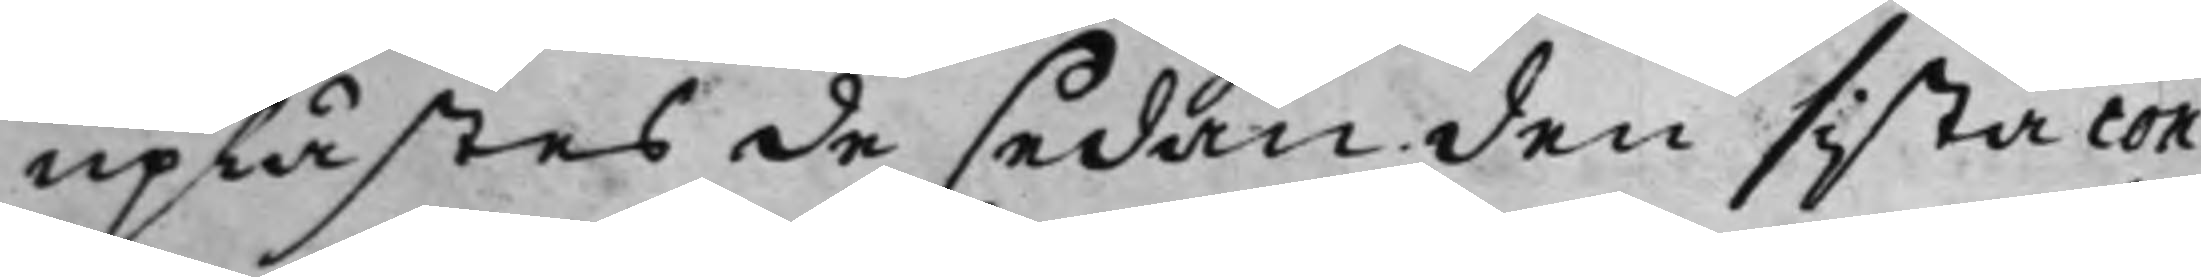uplästes de sedan den sista con¬
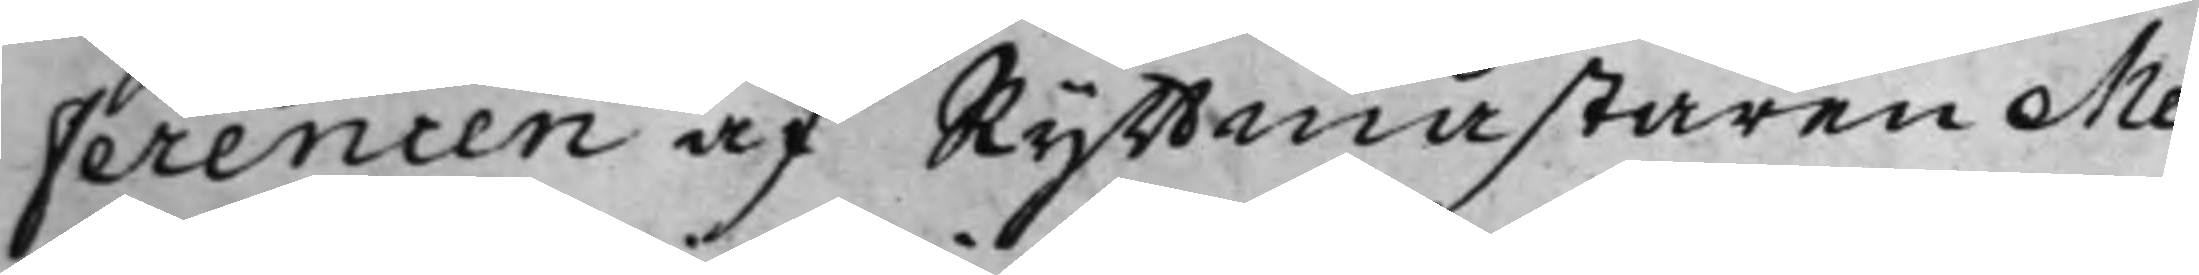ferencen af Ryttmästaren Me¬
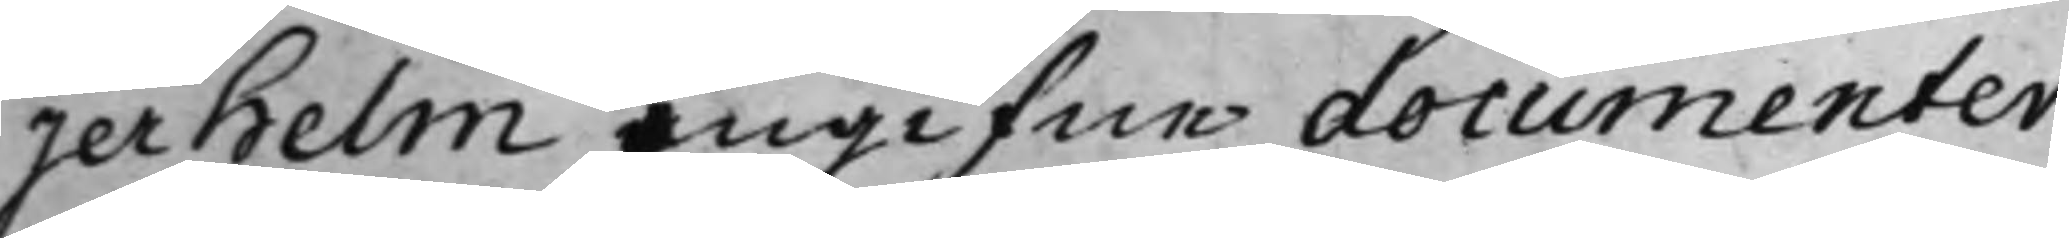jerhelm ingifne documenter,
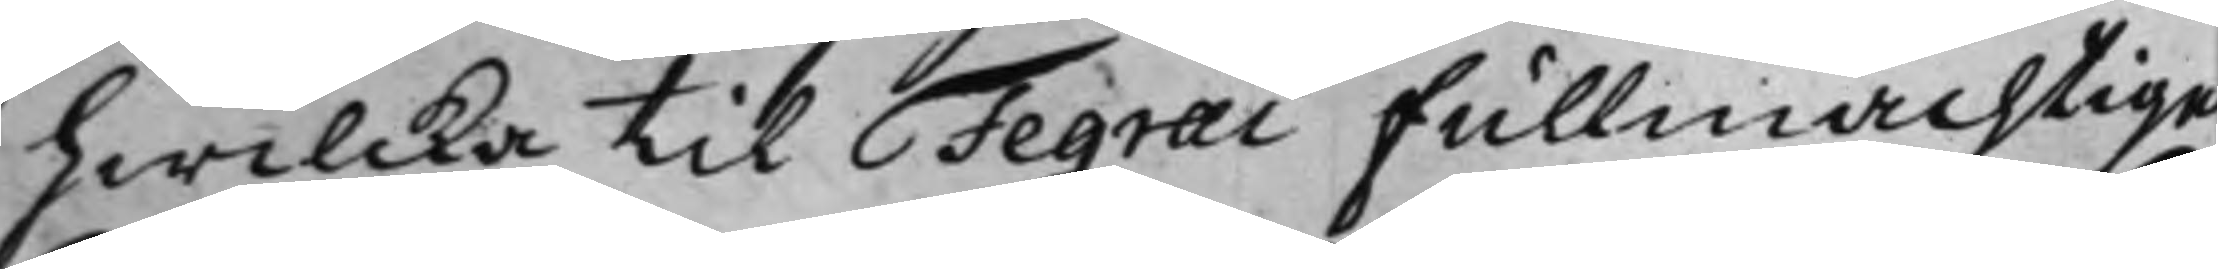hwilcka til Fegraei Fullmächtige
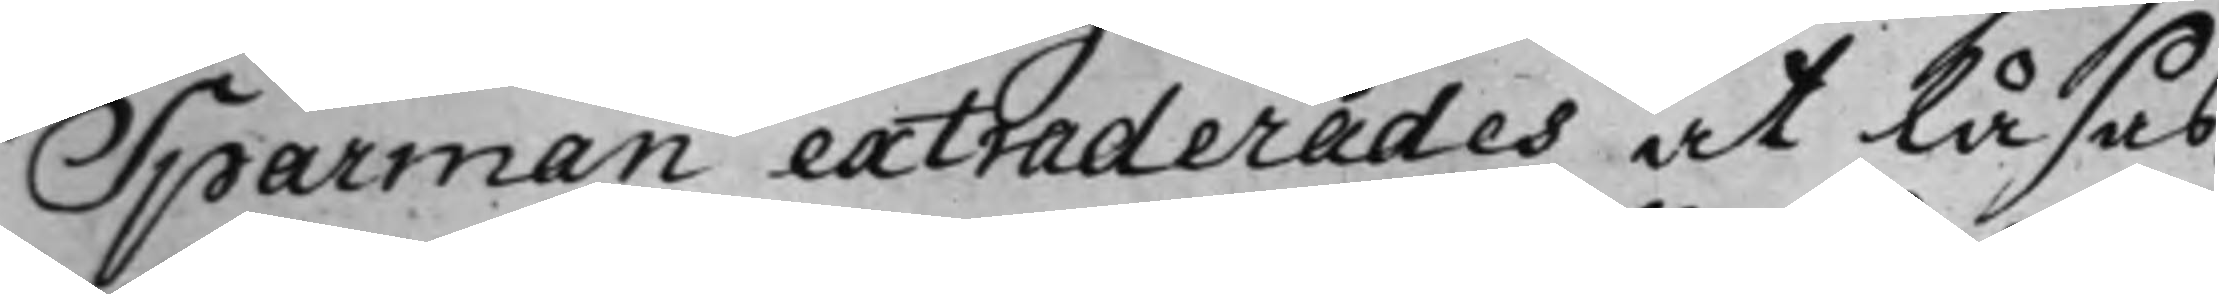Sparman extraderades at Läsas,
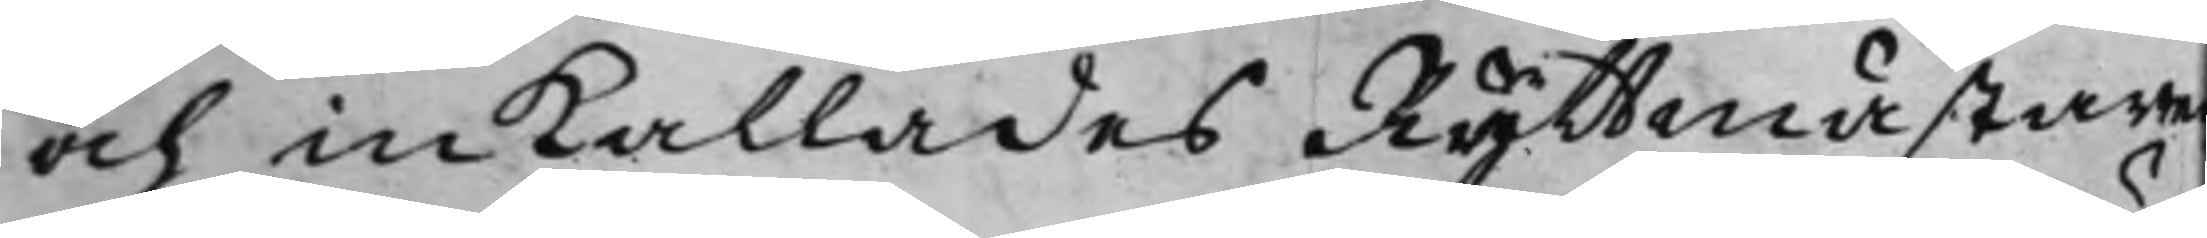och in kallades Ryttmästaren
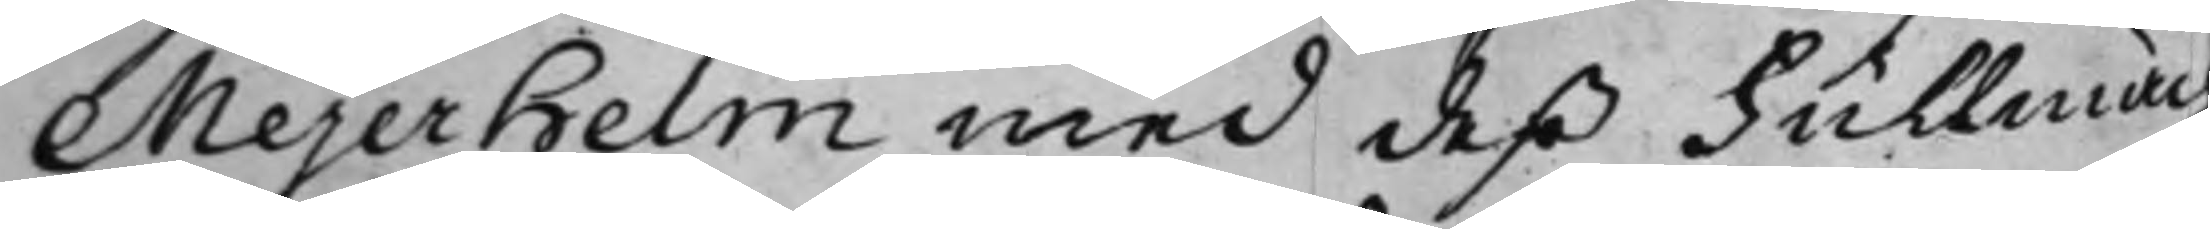Mejerhelm med deß Fullmäch¬
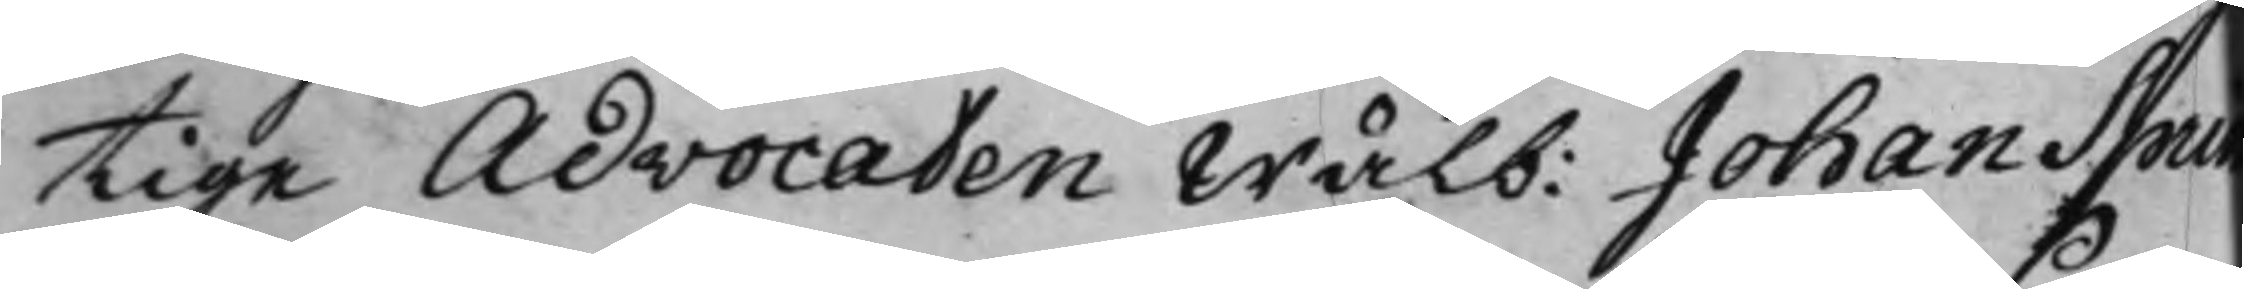tige Advocaten Wälb: Johan Sprin¬
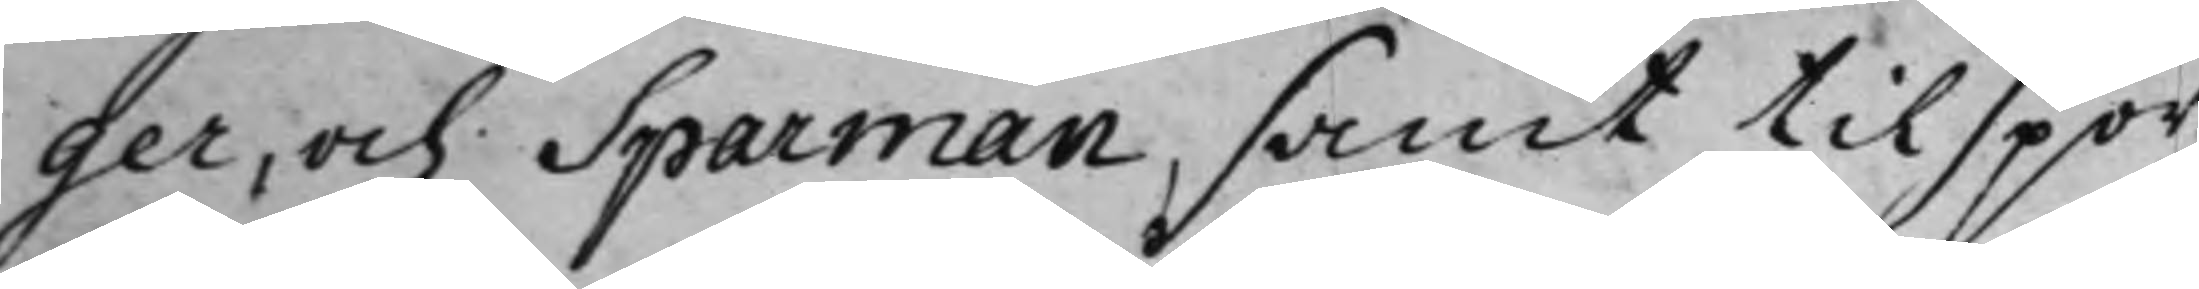ger, och Sparman, samt tilspor¬
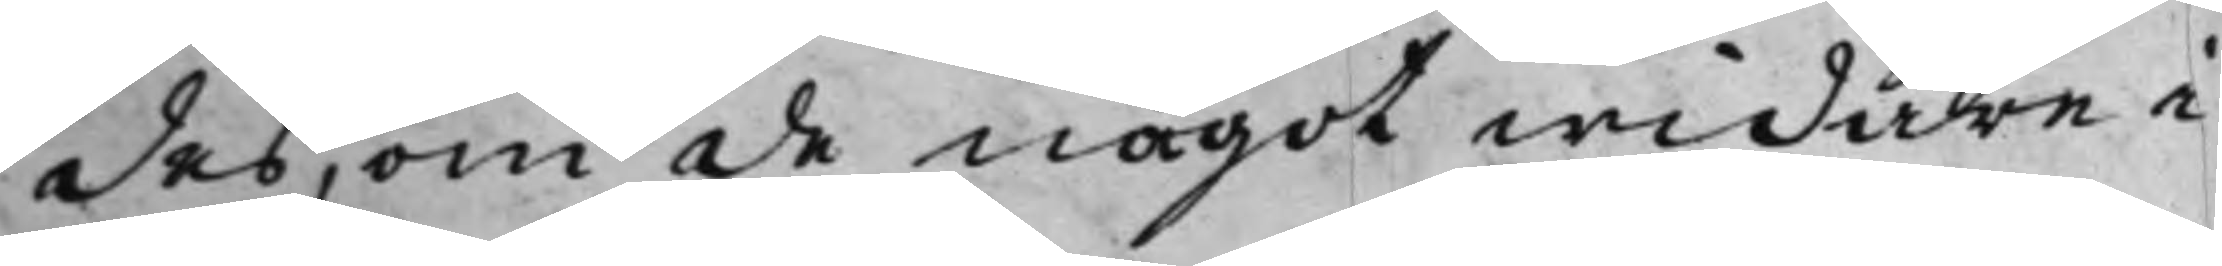des, om de något widare i
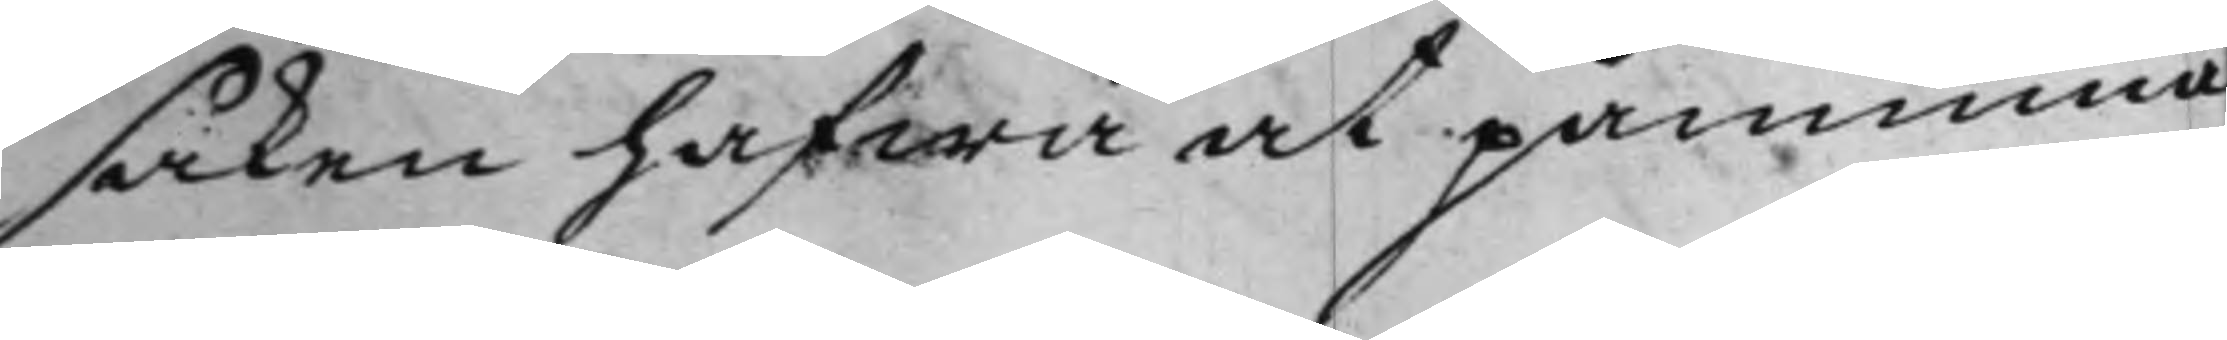saken hafwa at påminna
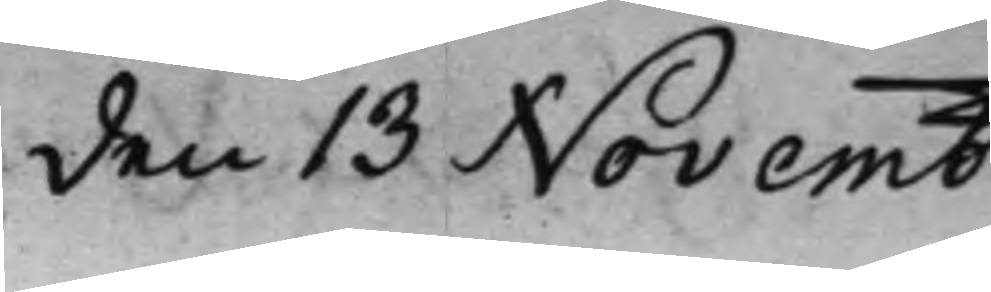den 13 Novemb
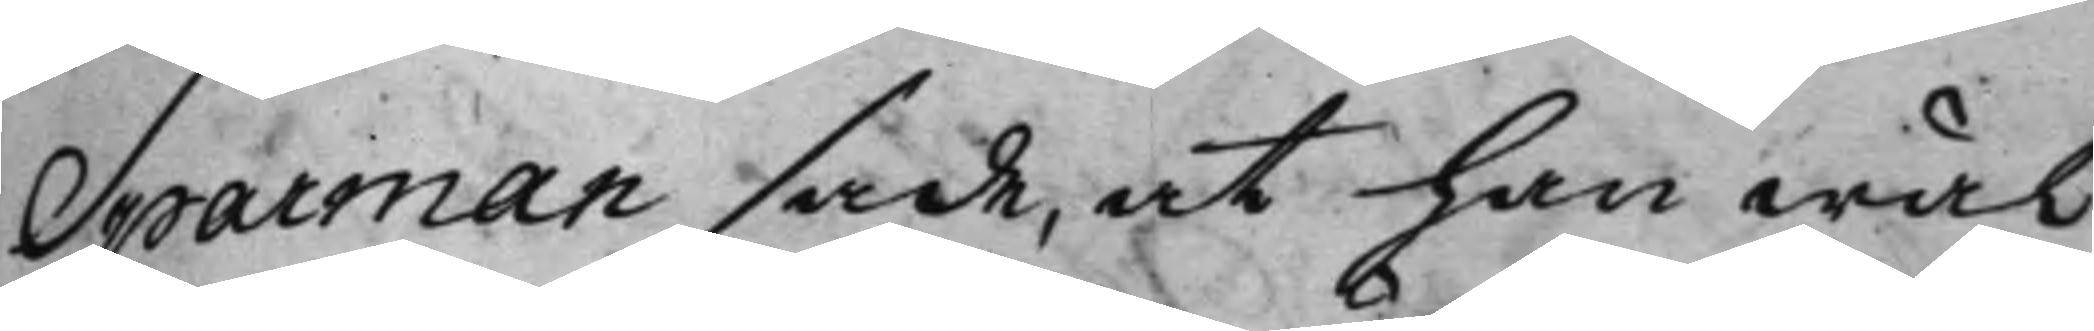Sparman sade, at han wäl
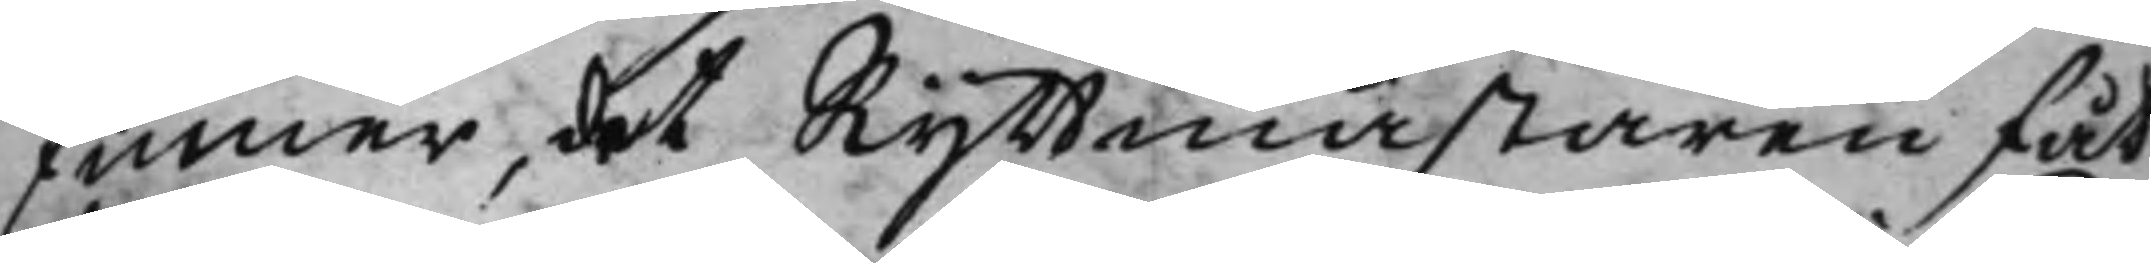finner, det Ryttmästaren fåt
